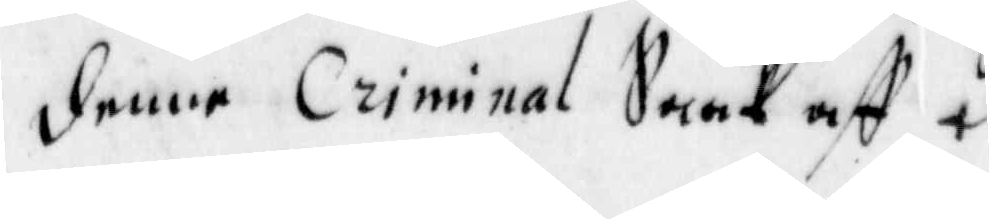denne Criminal Saak aff 
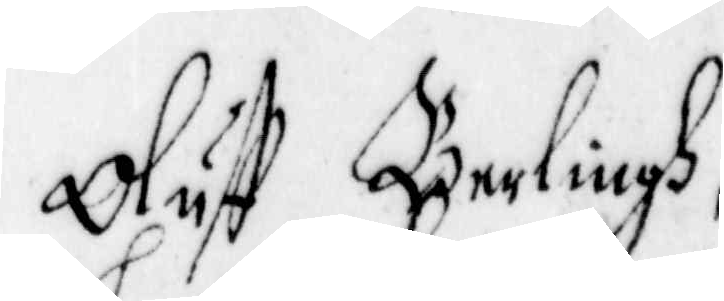Oluff Berlingh,	
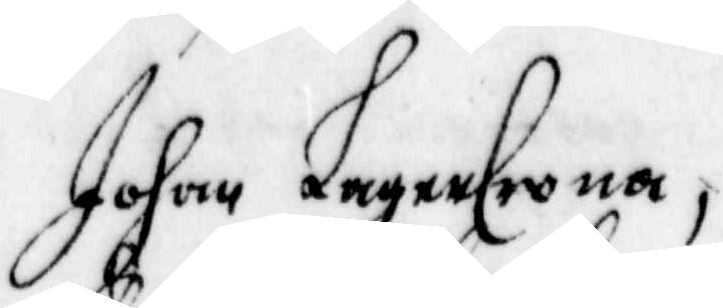Johan LagerCrona
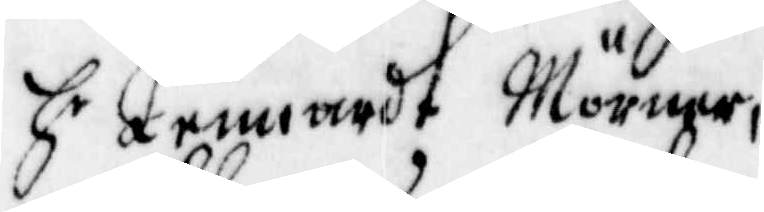Hr Lennardt Mörner,
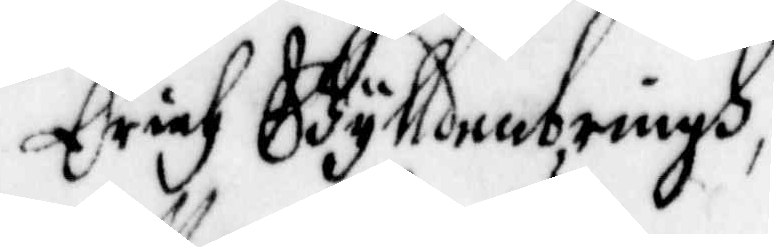Erich Gylldenbringh
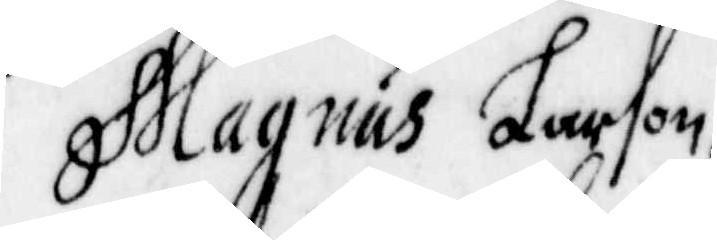Magnus Larson,
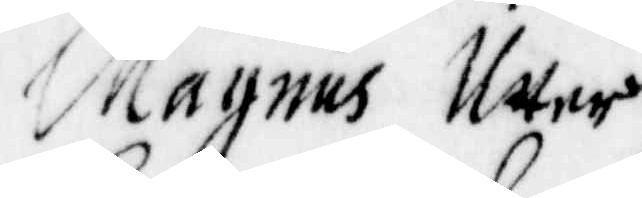Magnus Utter,
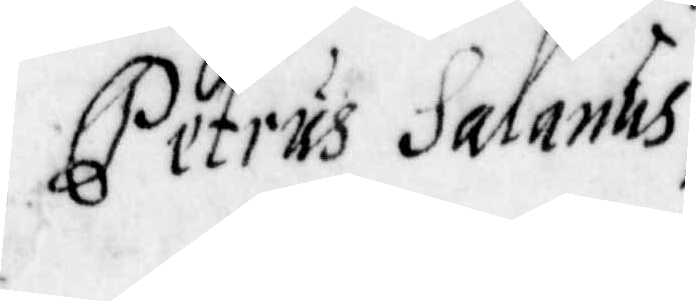Petrus Salanus,
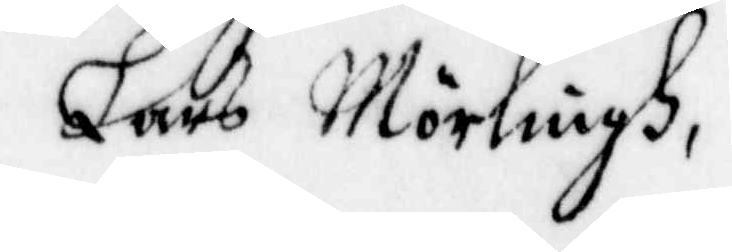Lars Mörlingh,
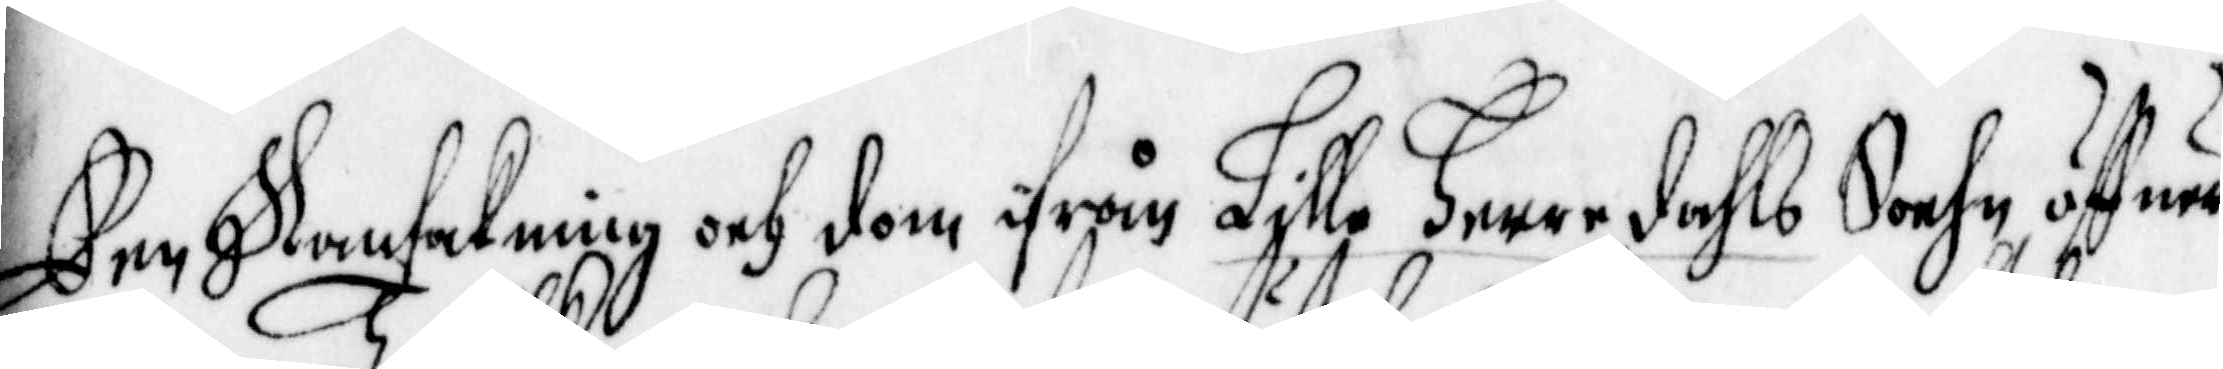Een Ransakning och dom ifrån Lilla Herredahls Sochn öffuer
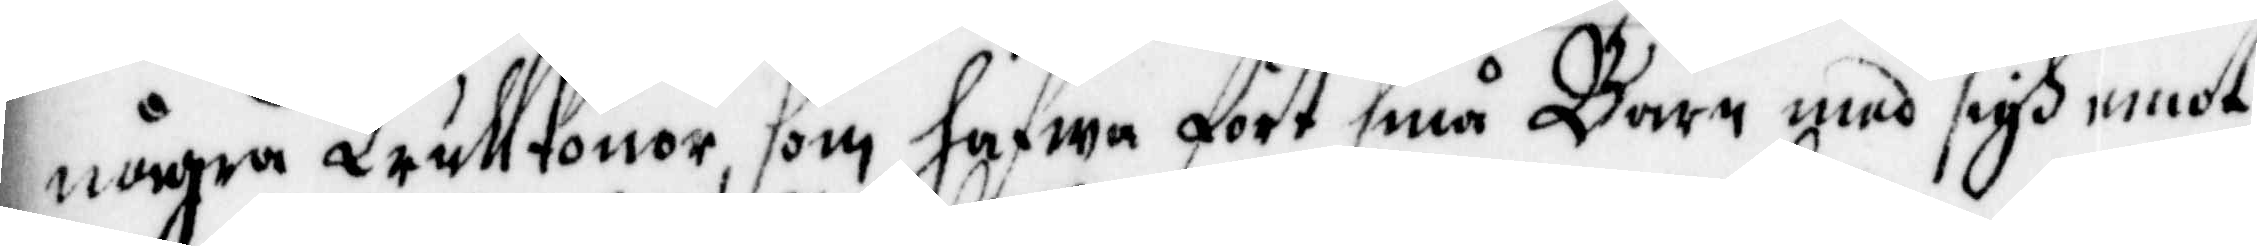några Trullkonor, som hafwa fört små Barn med sigh emot
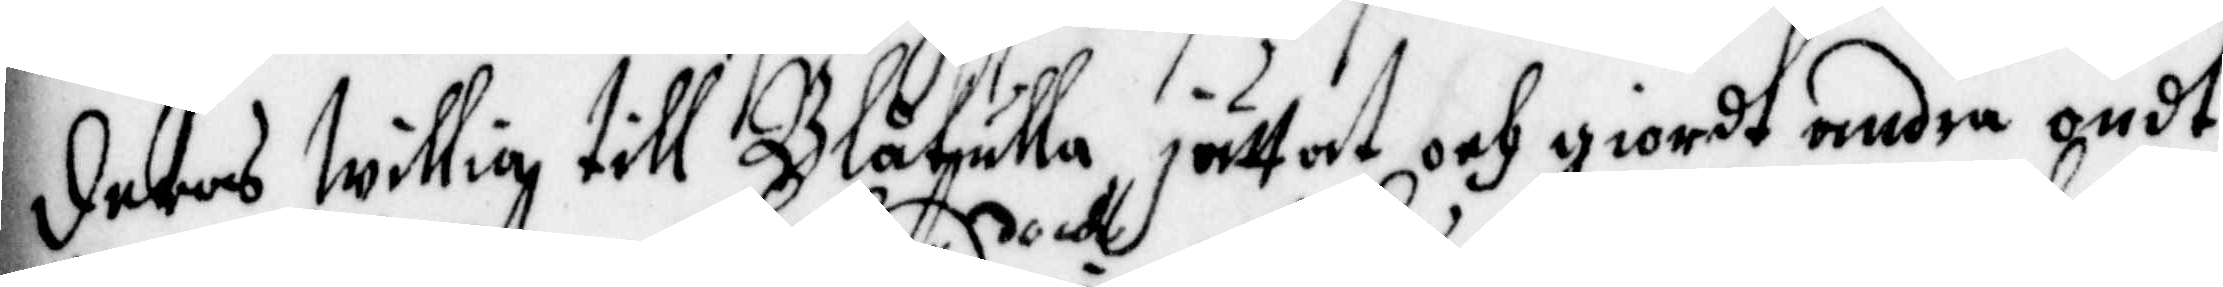deras Willia till Blåkulla jättat och giordt andra ondt,
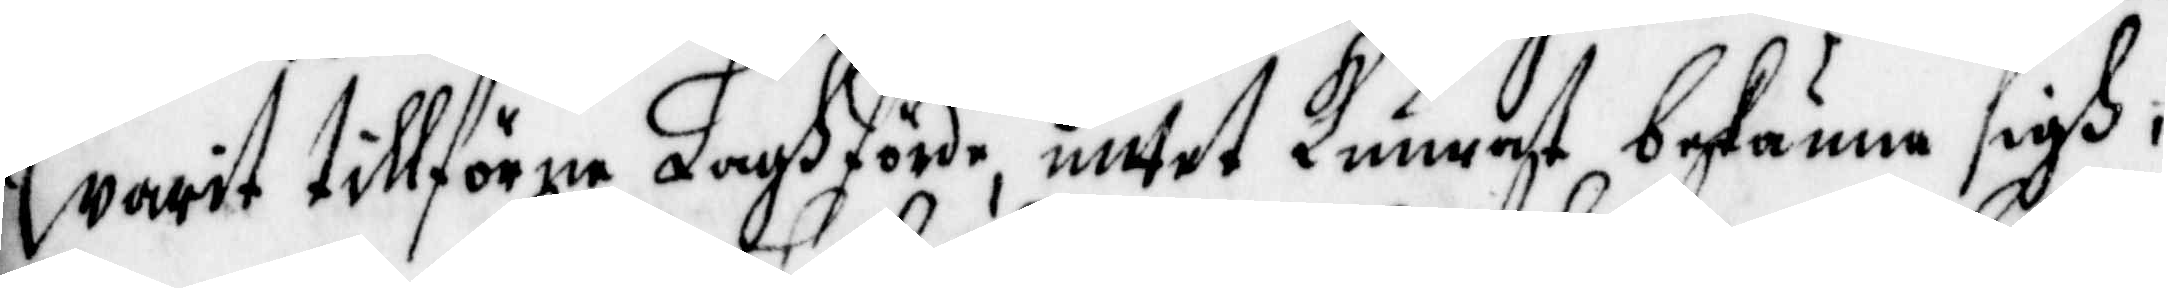warit tillförne Laghförda, doch intet Kunnat bekänna sigh,
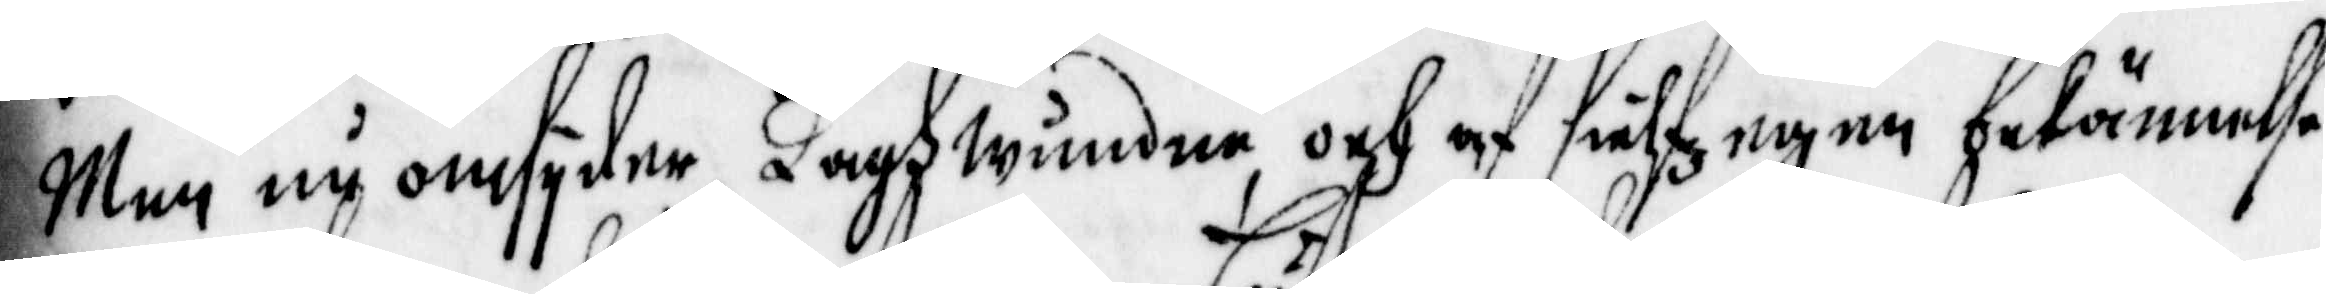Men nu omsyder Laghwunden och af Sälz egen bekännelse
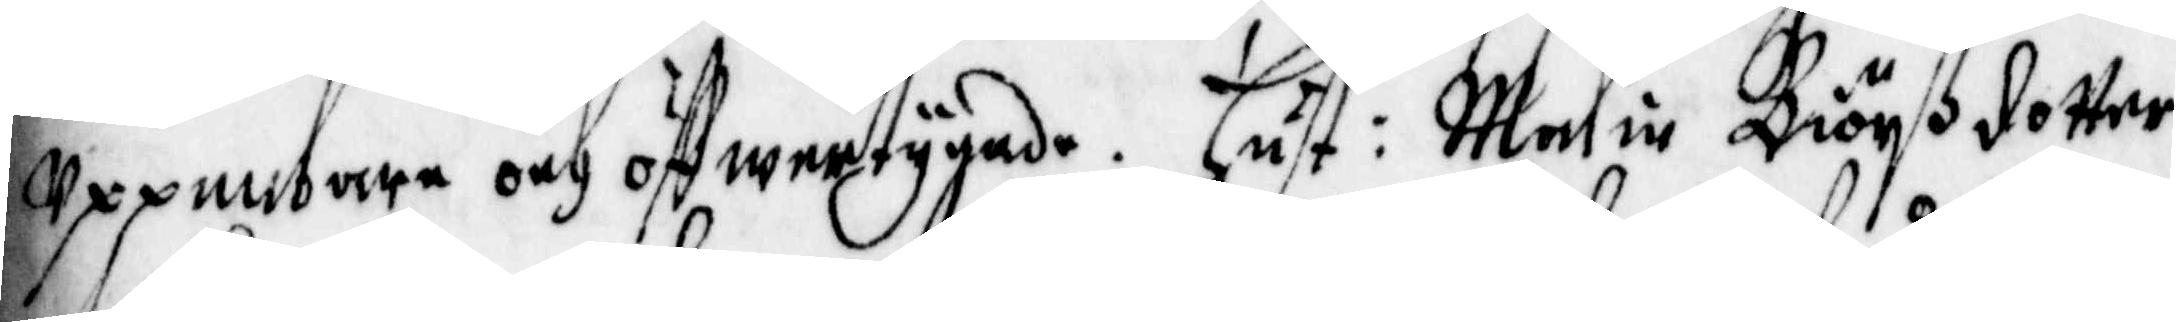Uppenbare och öffwertygade. Hust: Malin Biörßdotter
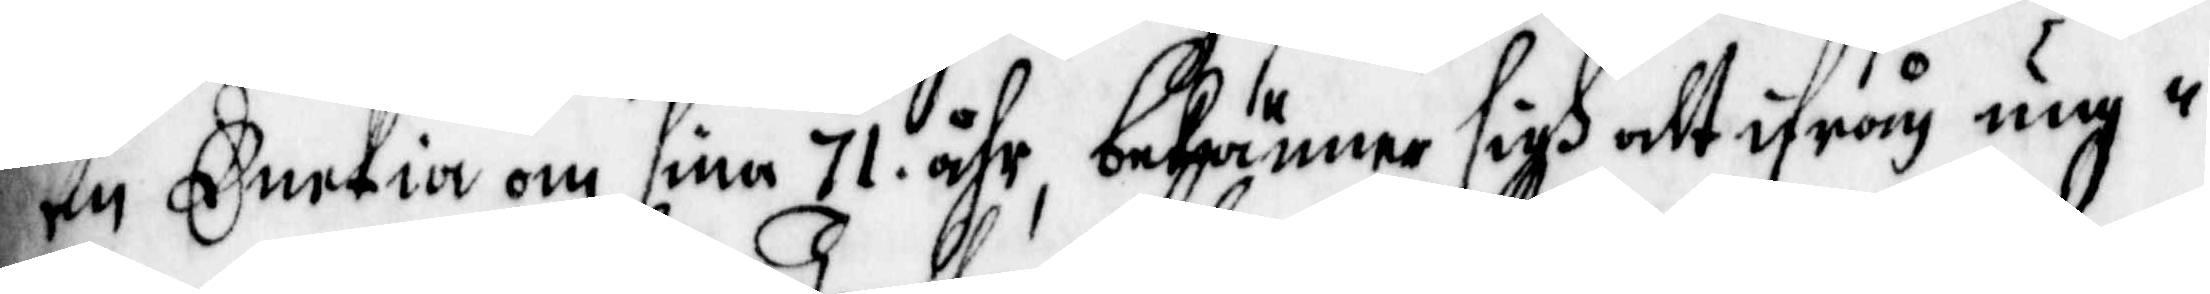en Enekia om sina 71 åhr, bekiänner sigh alt ifrån ung¬
